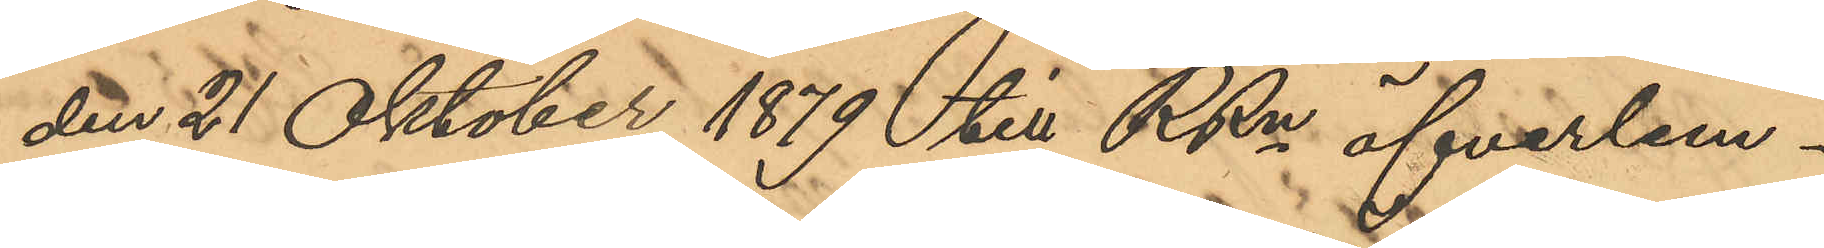den 21 Oktober 1879 till RRn öfverlem¬
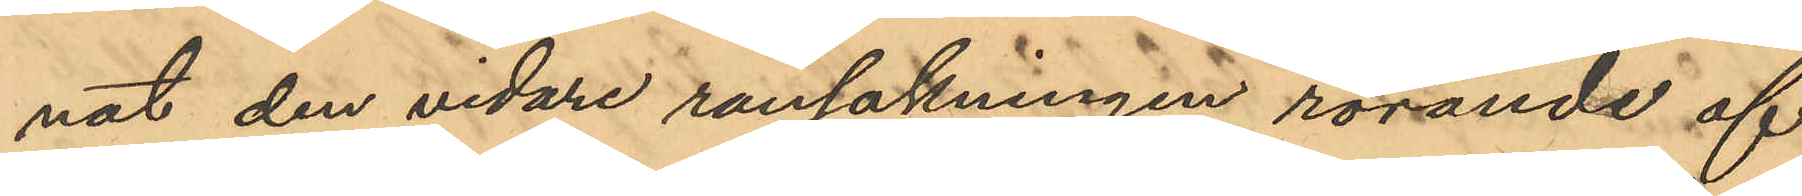nat den vidare ransakningen rörande af
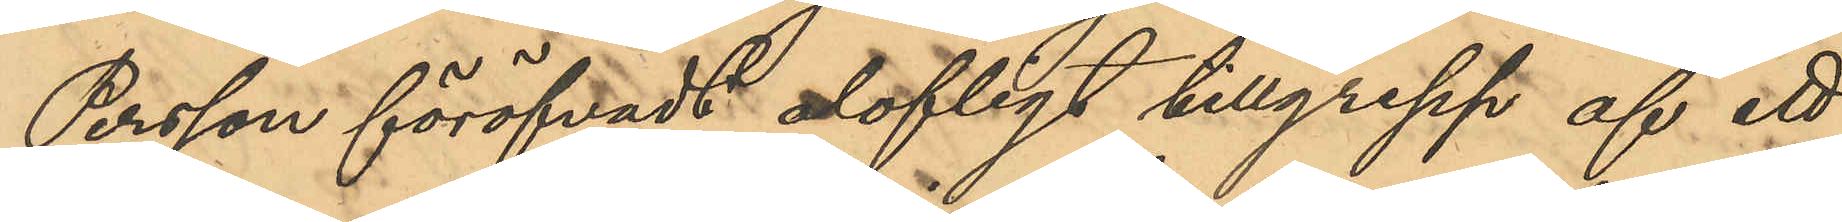Persson föröfvat olofligt tillgrepp af ett
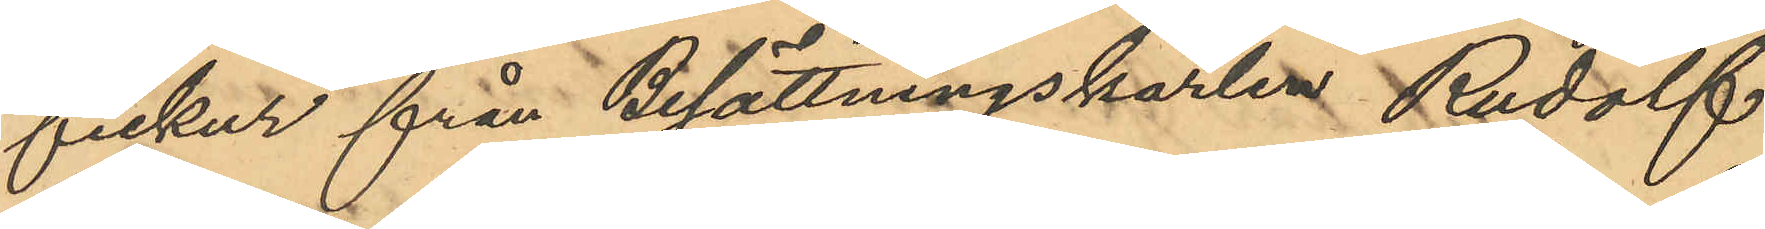fickur från Besättningkarlen Rudolf
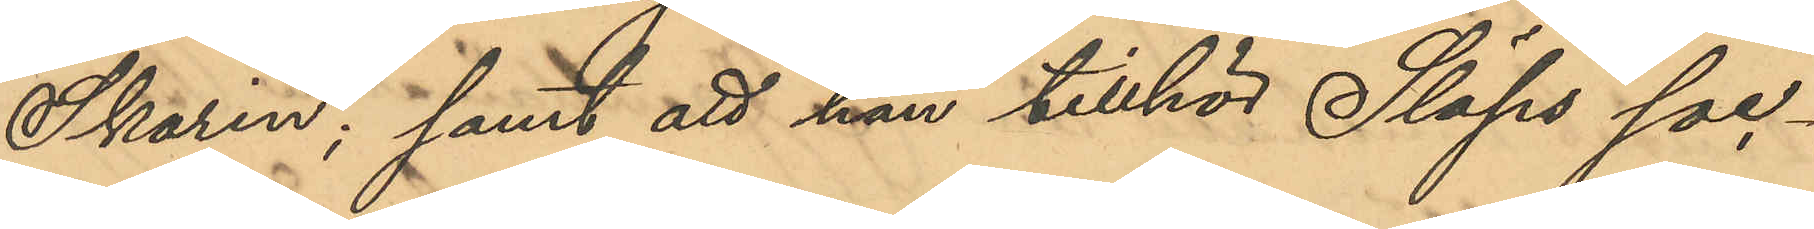Skarin; samt att han tillhör Släps soc¬
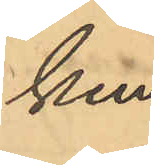ken.
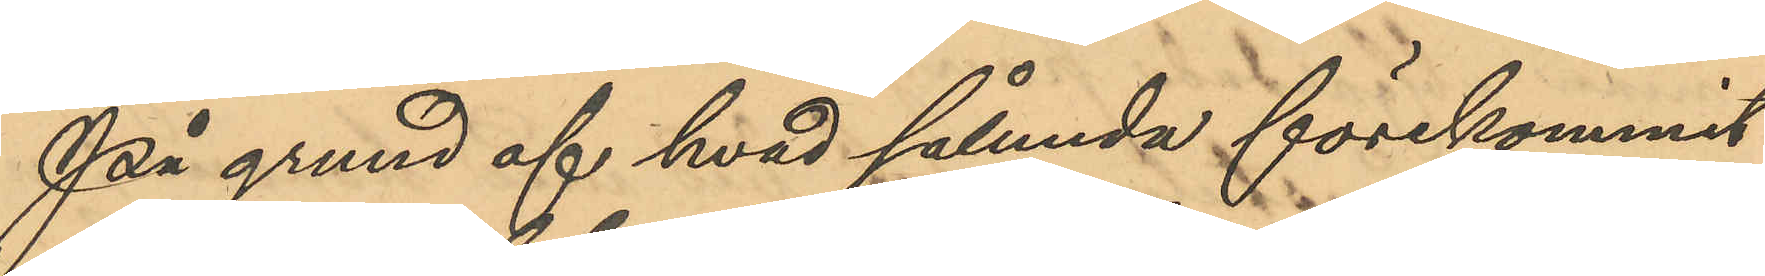På grund af hvad sålunda förekommit
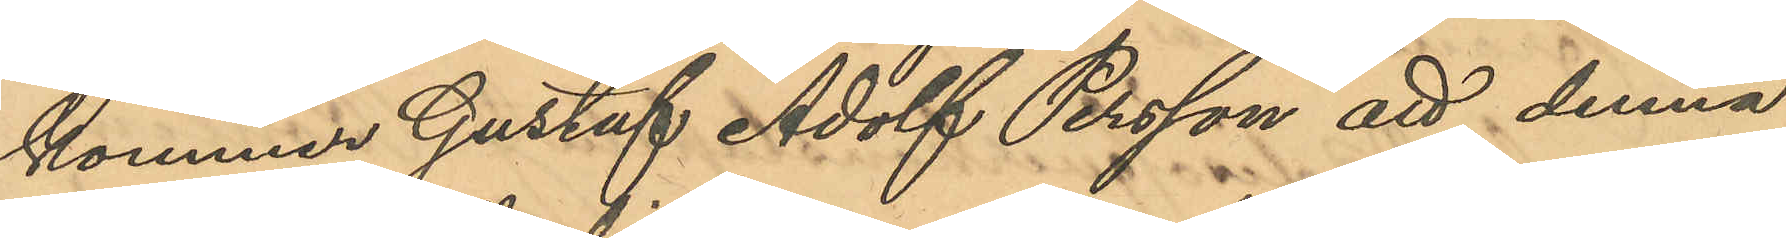kommer Gustaf Adolf Persson att denna
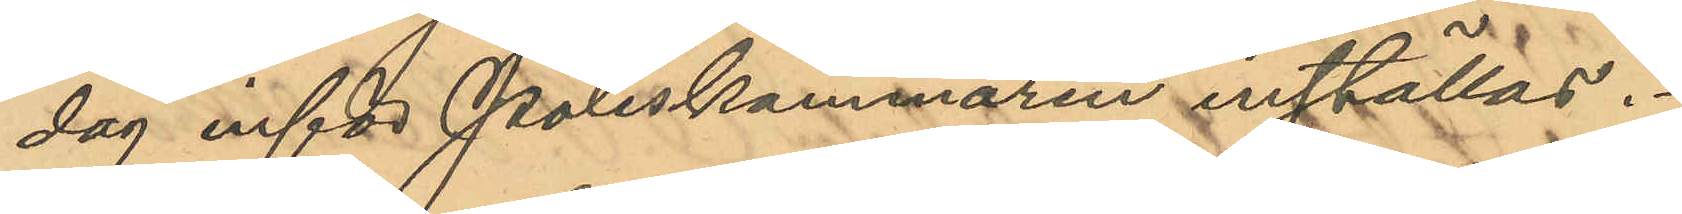dag inför Poliskammaren inställas.
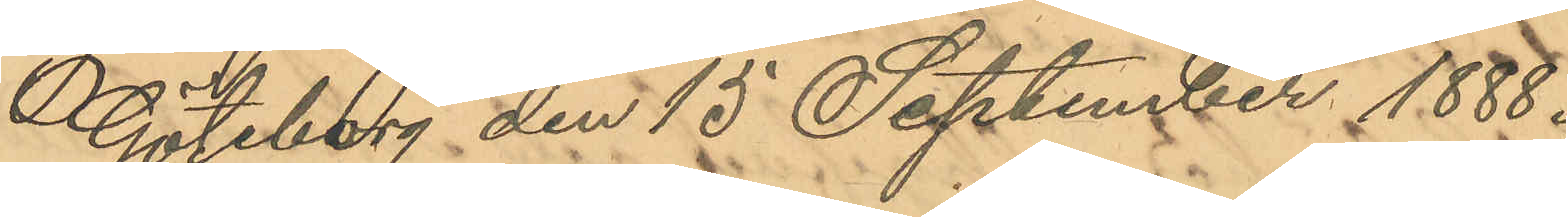Göteborg den 15 September 1888.
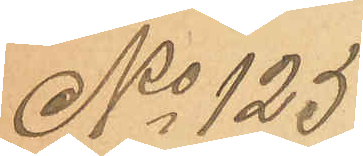No 125
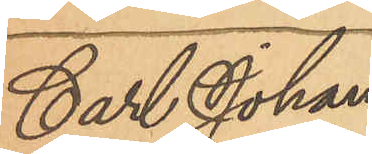Carl Johan
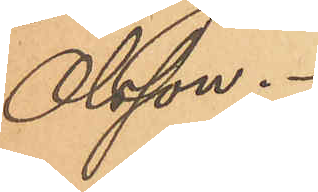Olsson.
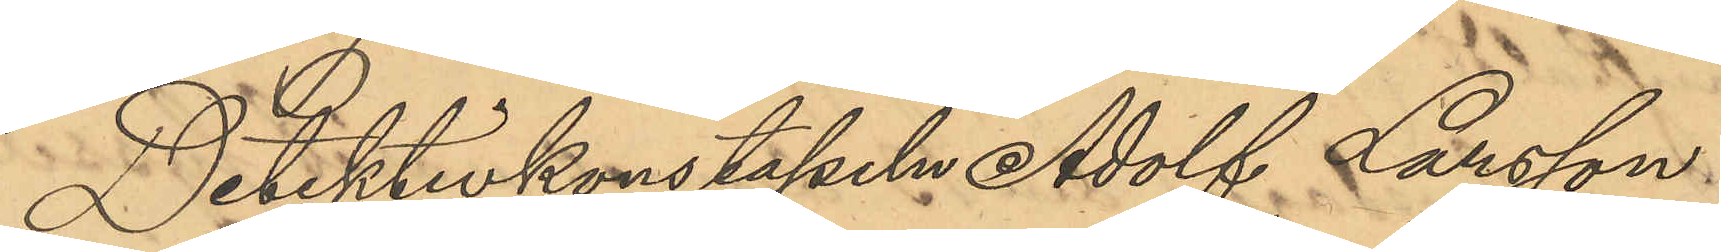Detektivkonstapeln Adolf Larsson
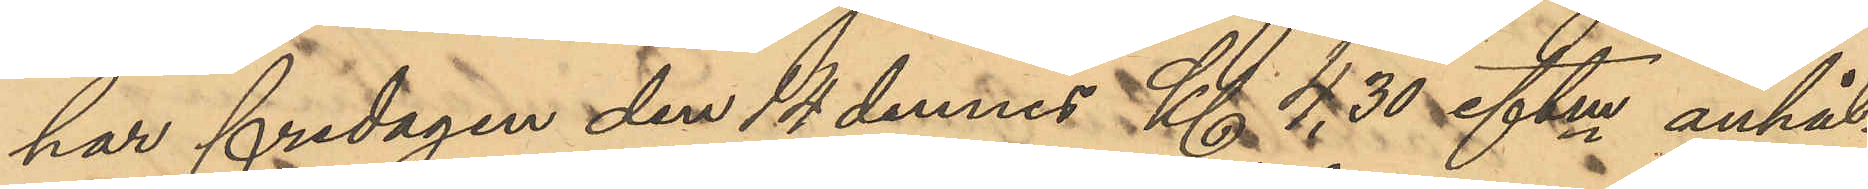har fredagen den 14 dennes Kl 4,30 eftm anhål¬
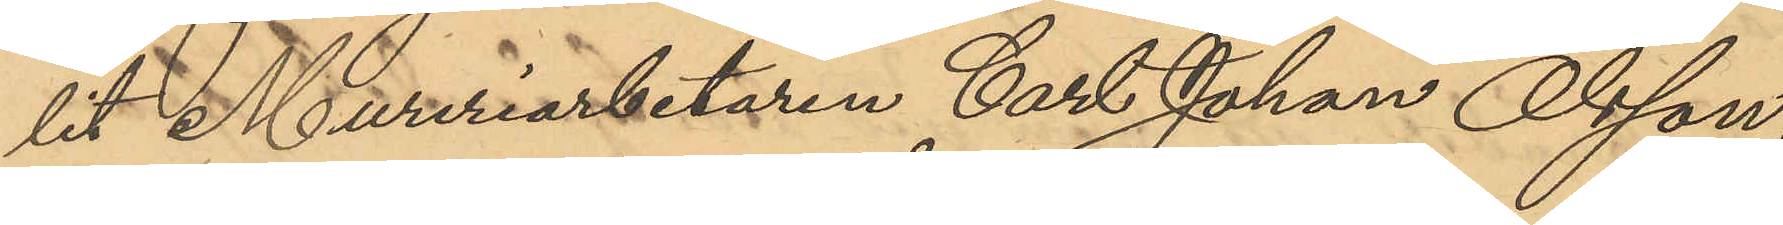lit Mureriarbetaren Carl Johan Olsson,
